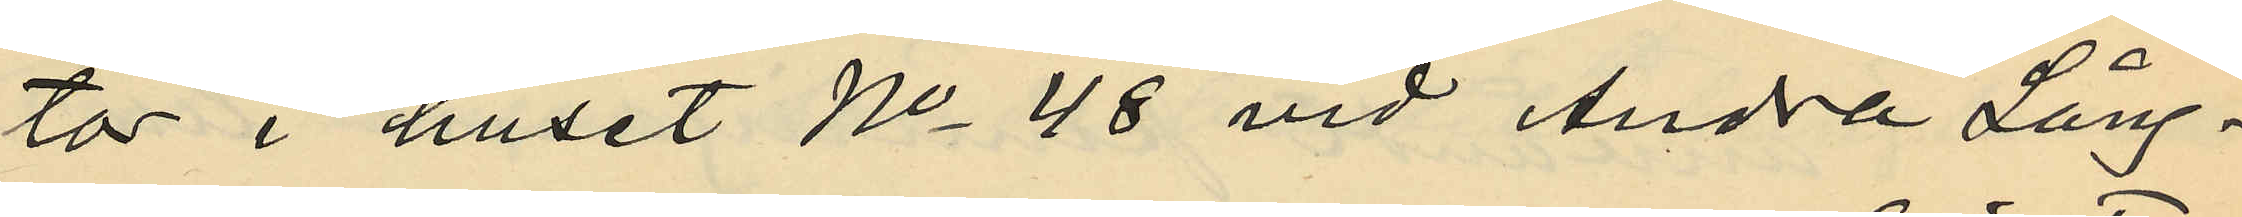tor i huset No 48 vid Andra Lång¬
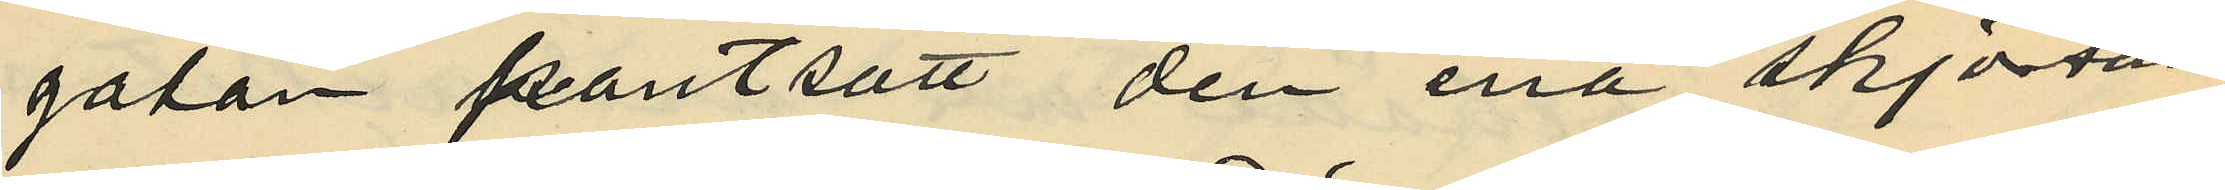gatan pantsatt den ena skjortan
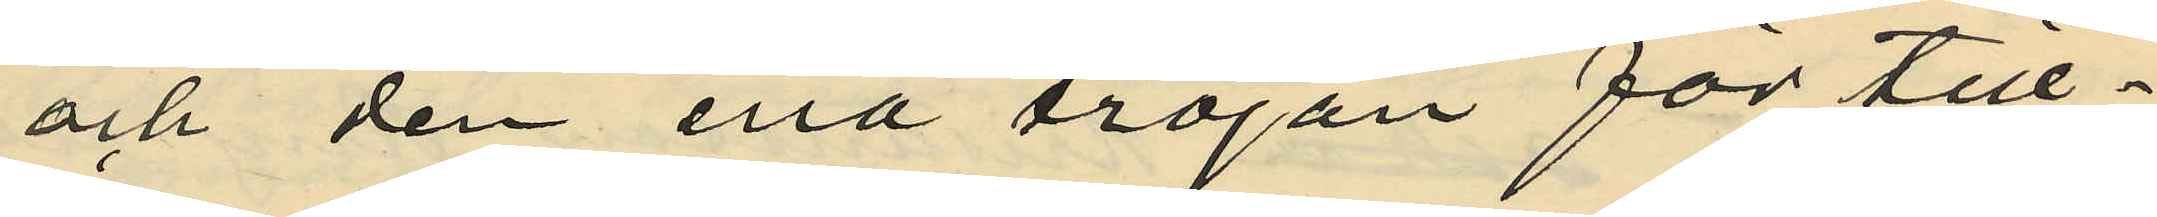och den ena tröjan för till¬
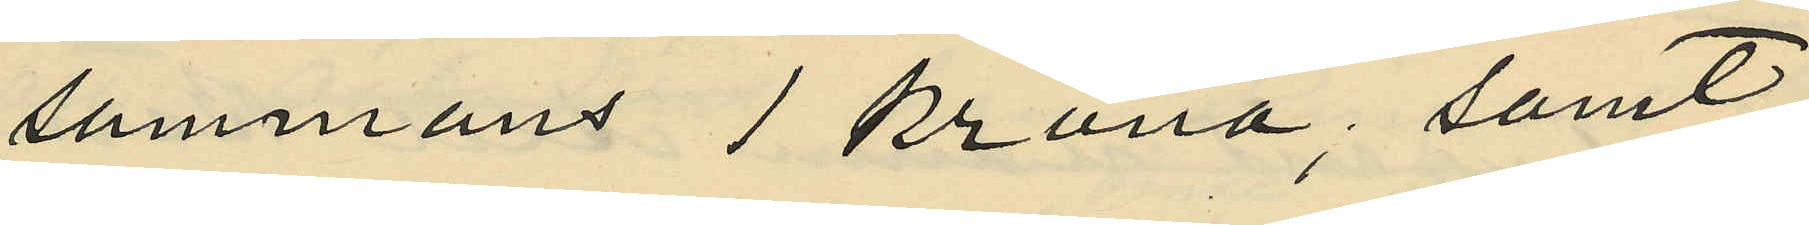sammans 1 Krona; samt
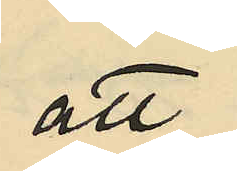att
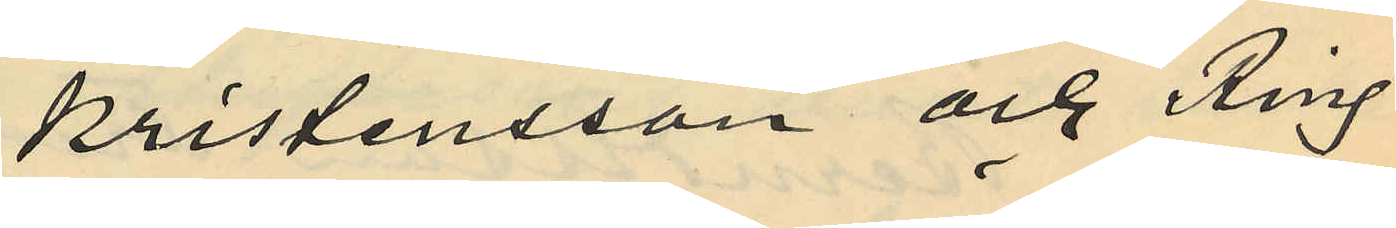Kristensson och Ring
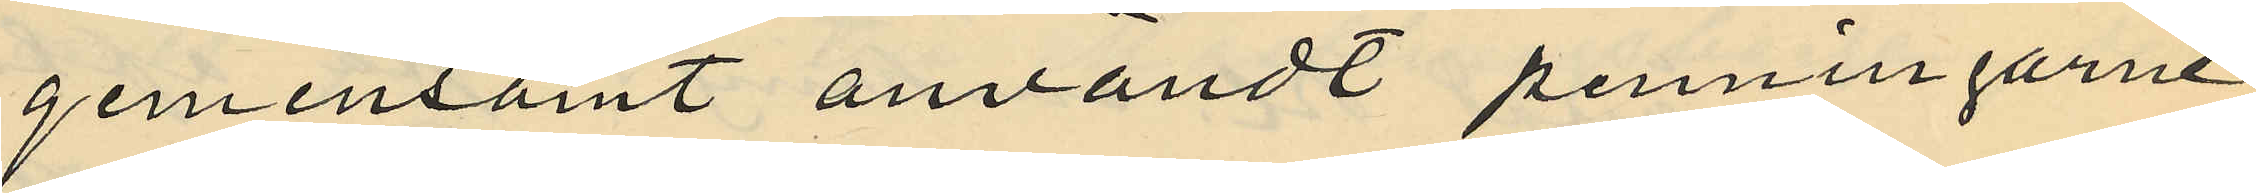gemensamt användt penningarne
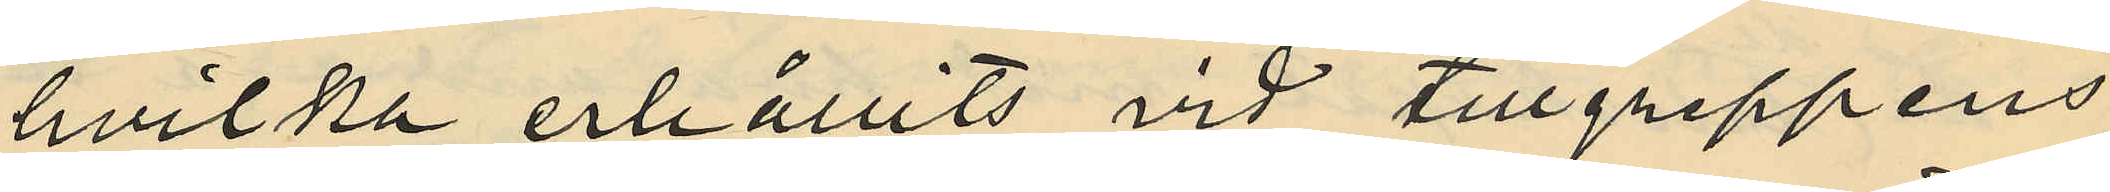hvilka erhållits vid tillgreppens
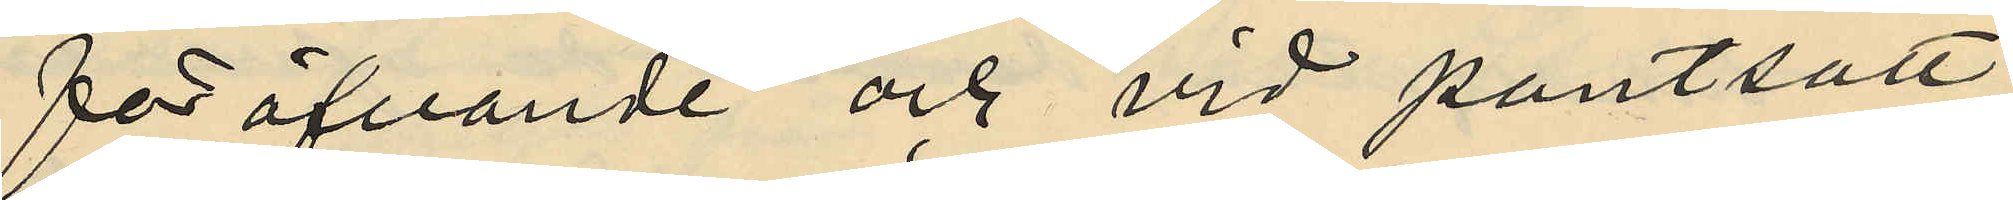föröfvande och vid pantsätt¬
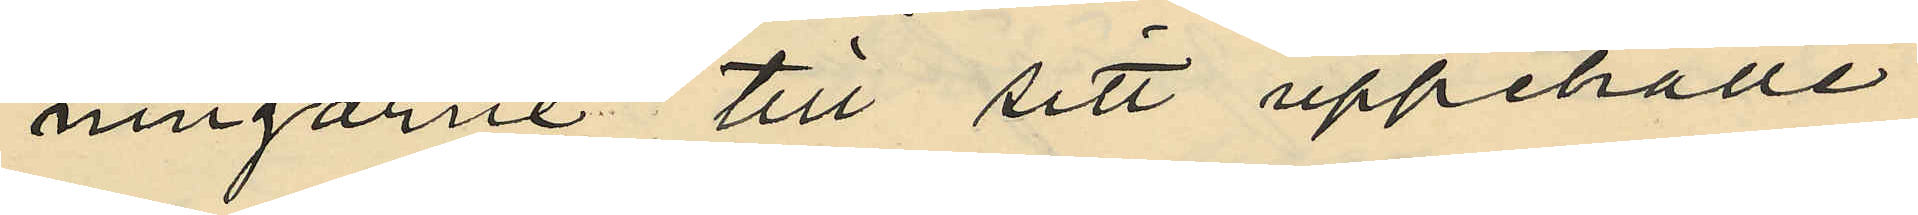ningarne till sitt uppehälle;
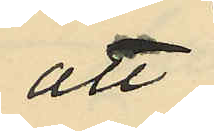att
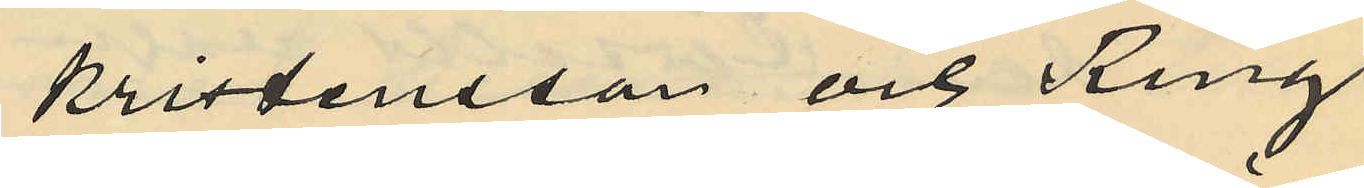Kristensson och Ring
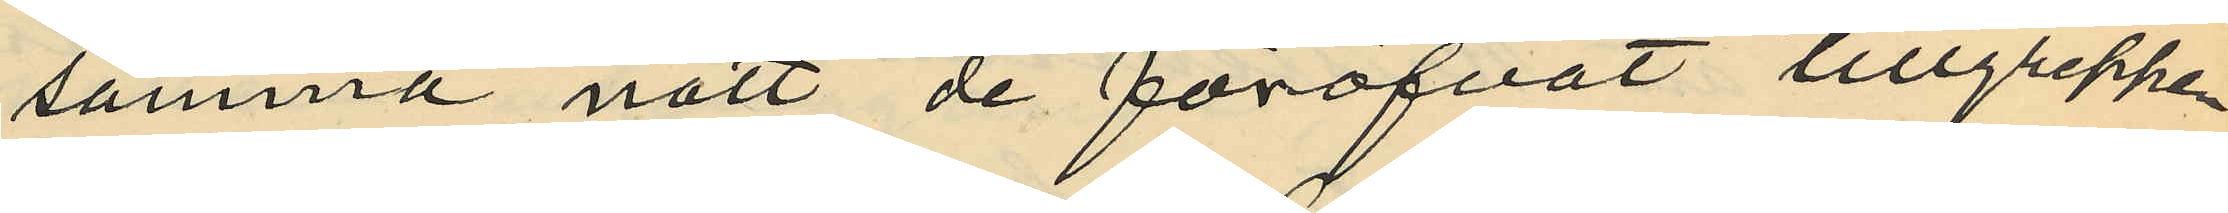samma natt de föröfvat tillgreppen
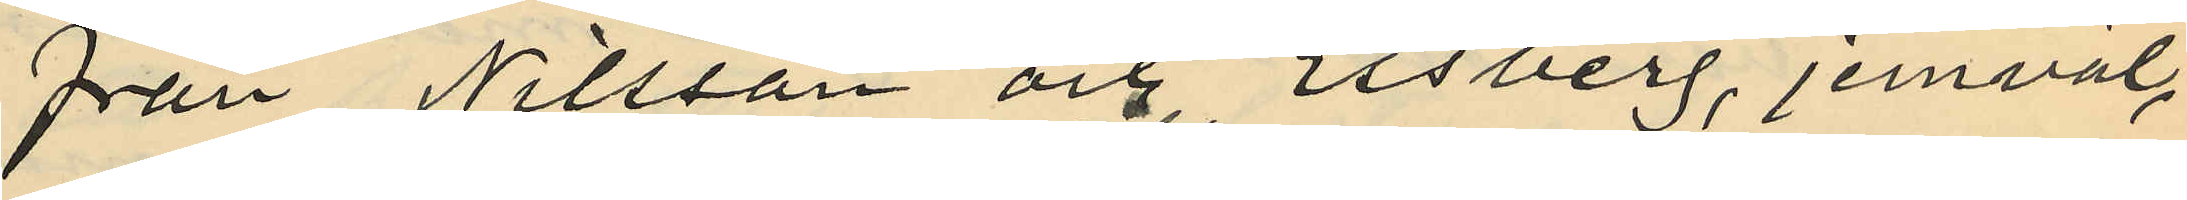från Nilsson och Essberg, jemväl,
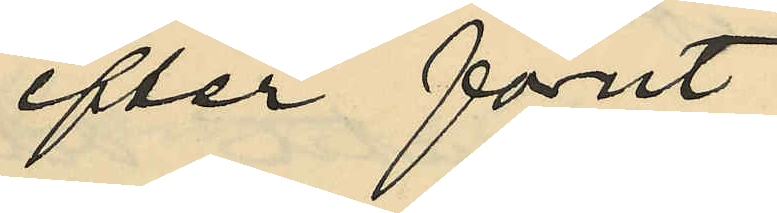efter förut
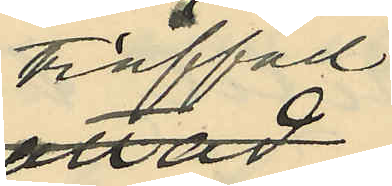träffad
